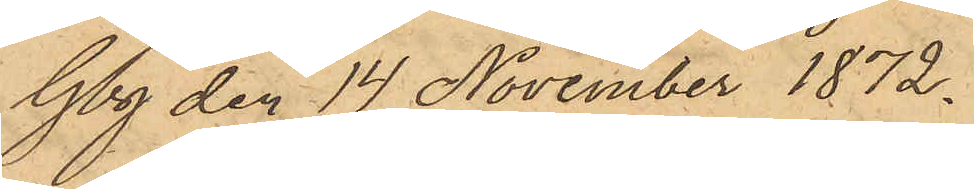Gbg den 14 November 1872.
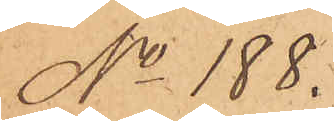No 188.
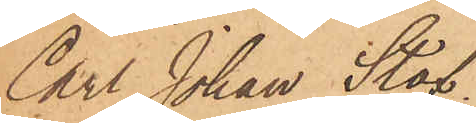Carl Johan Staf.
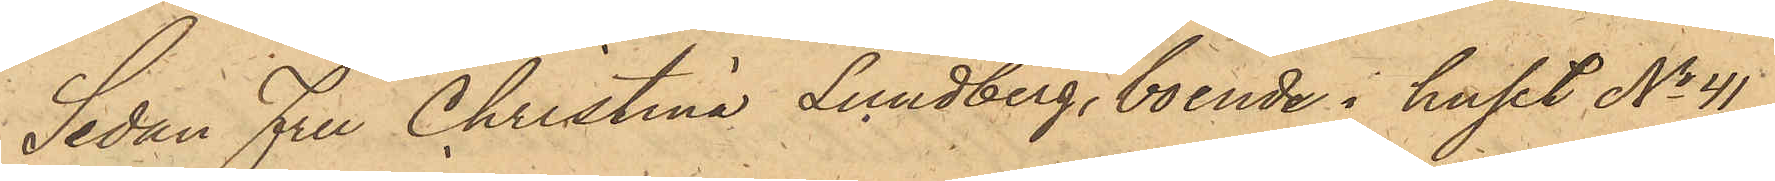Sedan Fru Christina Lundberg, boende i huset No 41
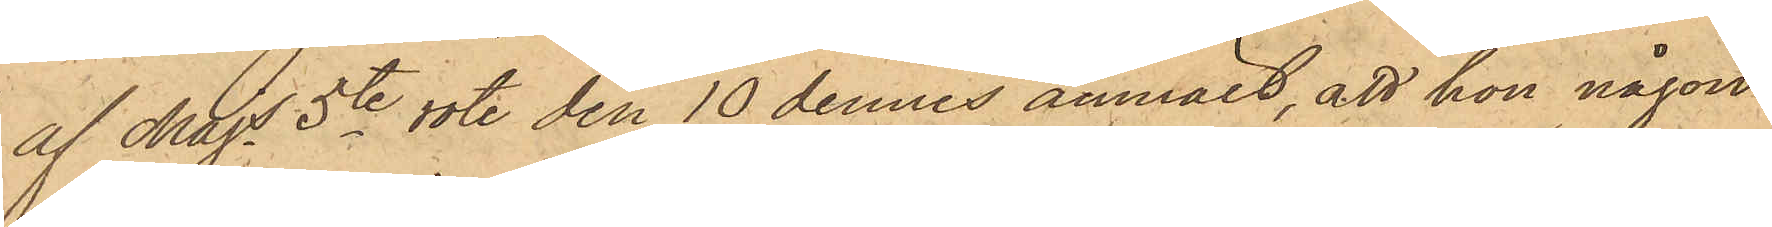af Majs 5te rote den 10 dennes anmält, att hon någon
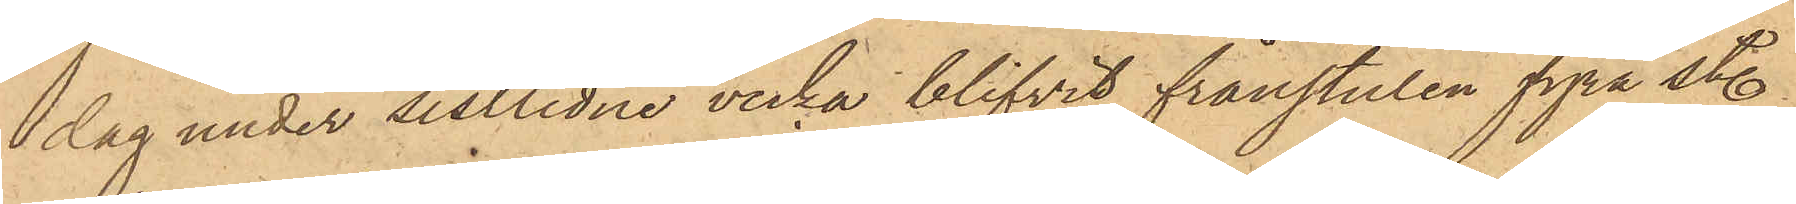dag under sistlidne vecka blifvit frånstulen fyra st.
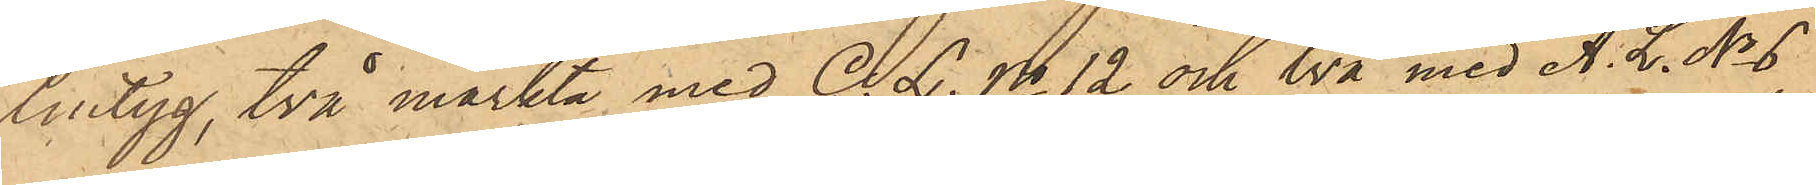lintyg, två märkta med C. L. No 12 och två med A. L. No 6,
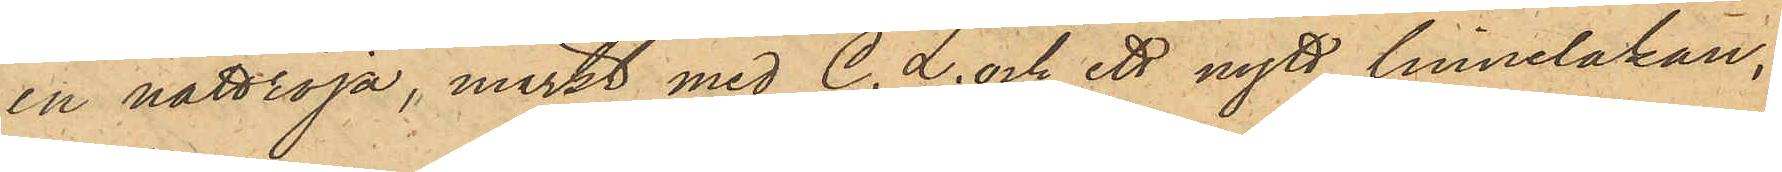en nattröja, märkt med C. L. och ett nytt linnelakan,
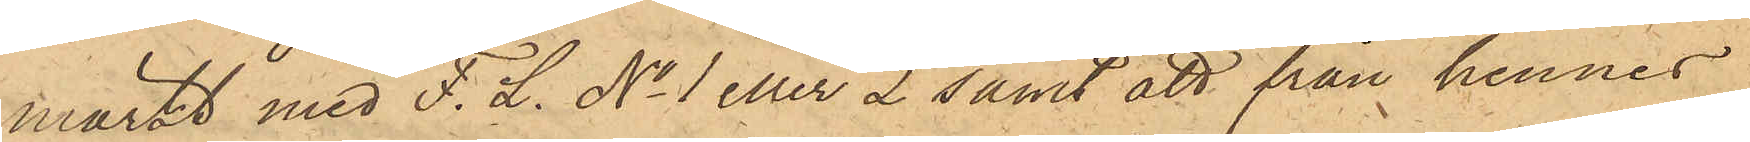märkt med F. L. No 1 eller 2 samt att från hennes
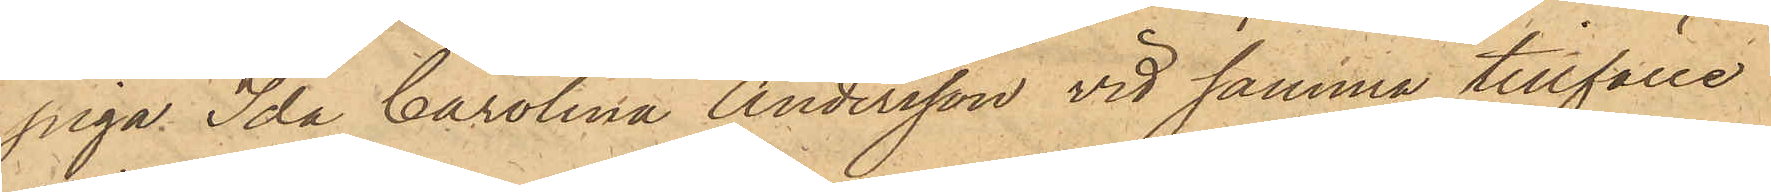piga Ida Carolina Andersson vid samma tillfälle
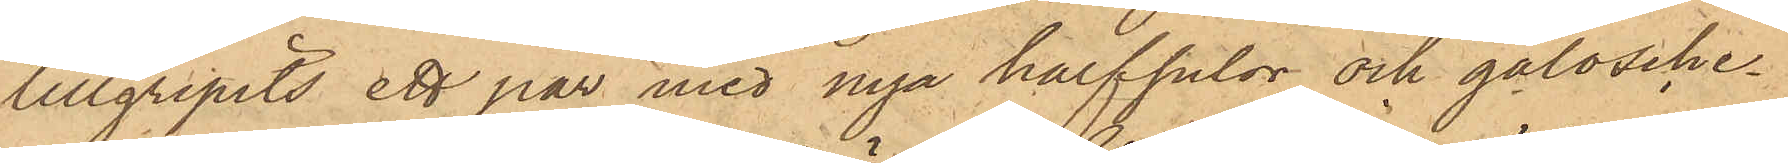tillgripits ett par med nya halfsulor och galosche¬
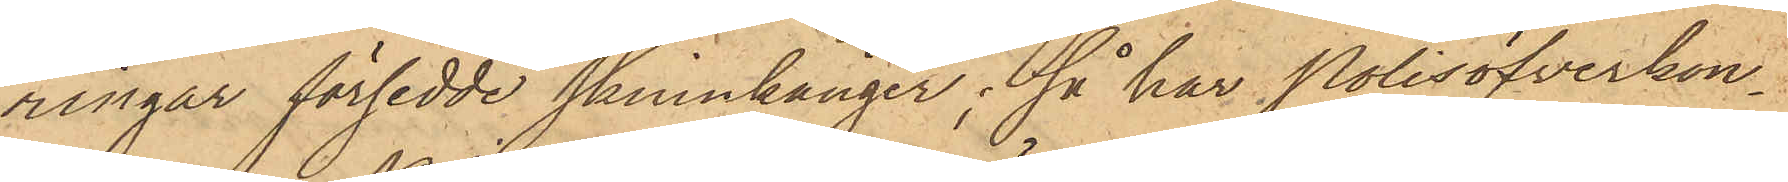ringar försedde skinnkänger; så har Polisöfverkon¬
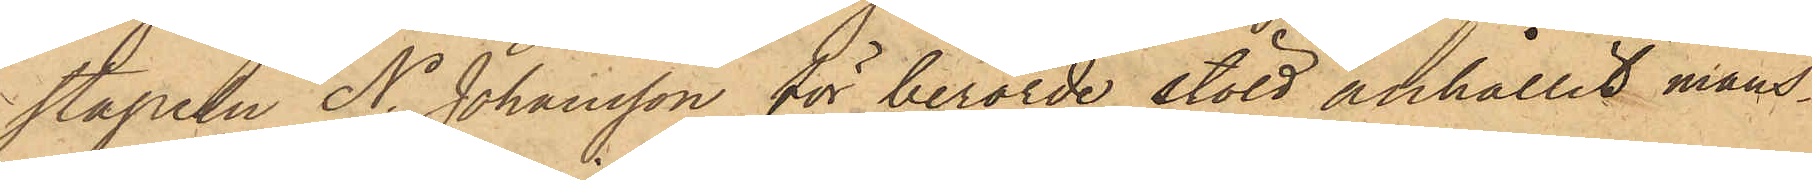stapeln N. Johansson för berörde stöld anhållit mans¬
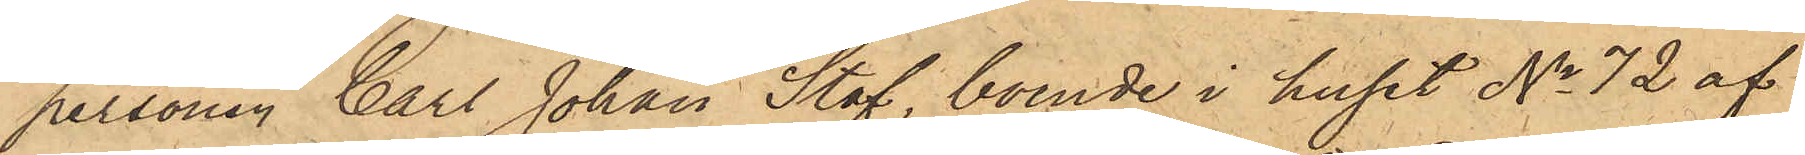personen Carl Johan Staf, boende i huset No 72 af
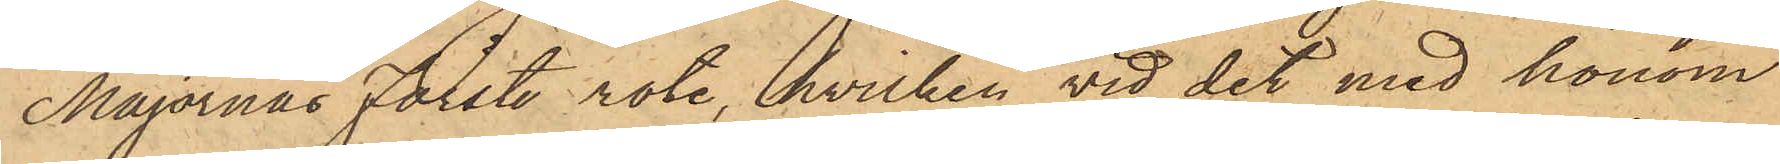Majornas Förste rote, hvilken vid det med honom
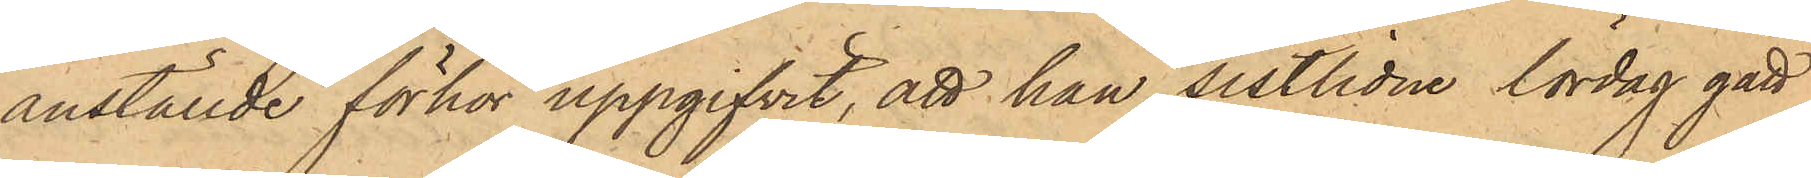anställde förhör uppgifvit, att han sistlidne lördag gått
